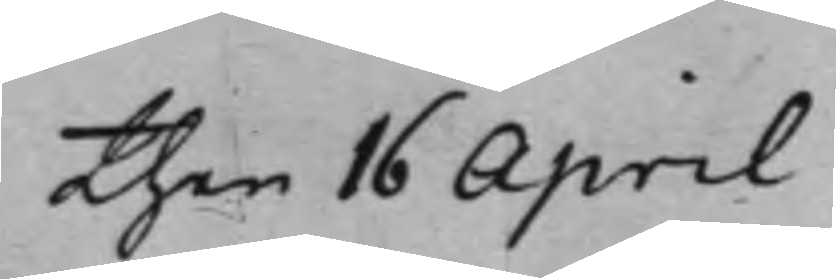Then 16 April
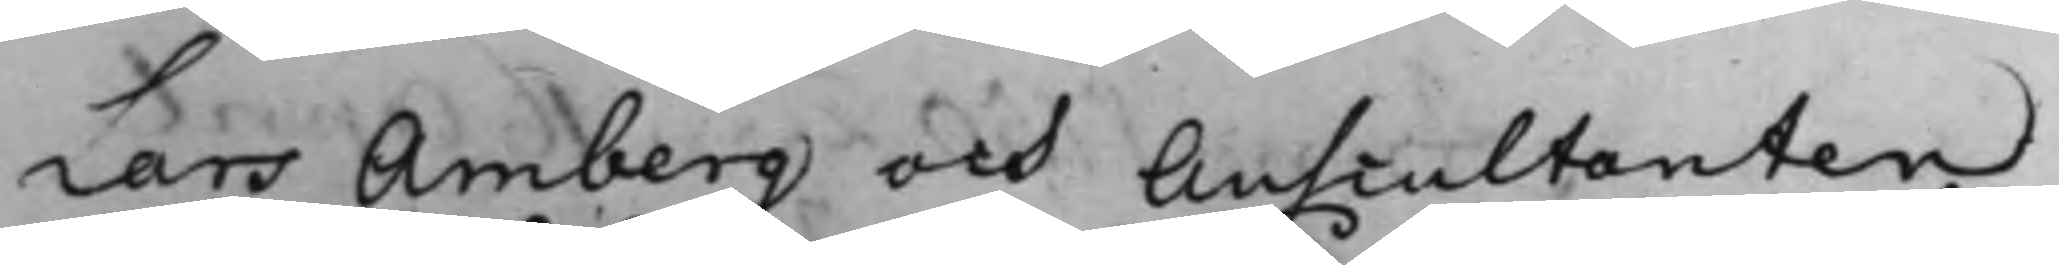Lars Amberg och Auscultanten
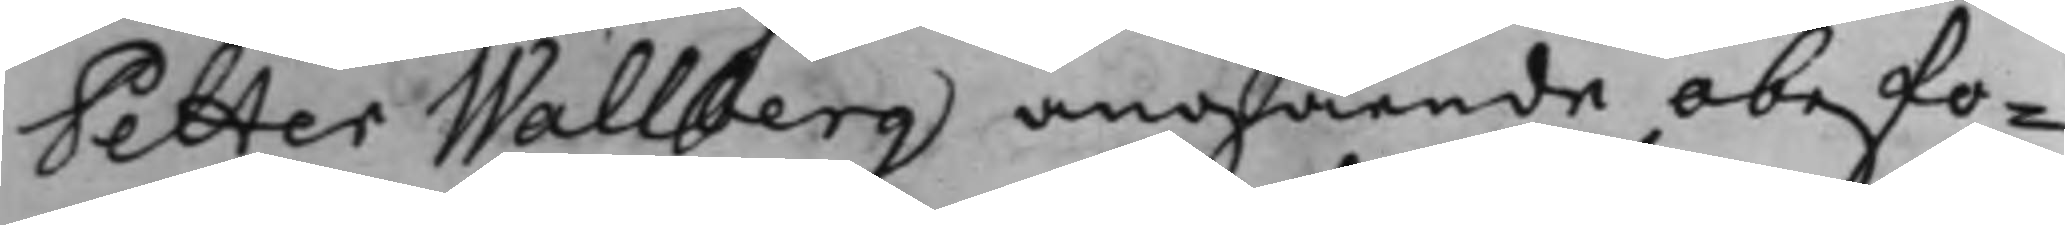Petter Wallberg angående obefo¬
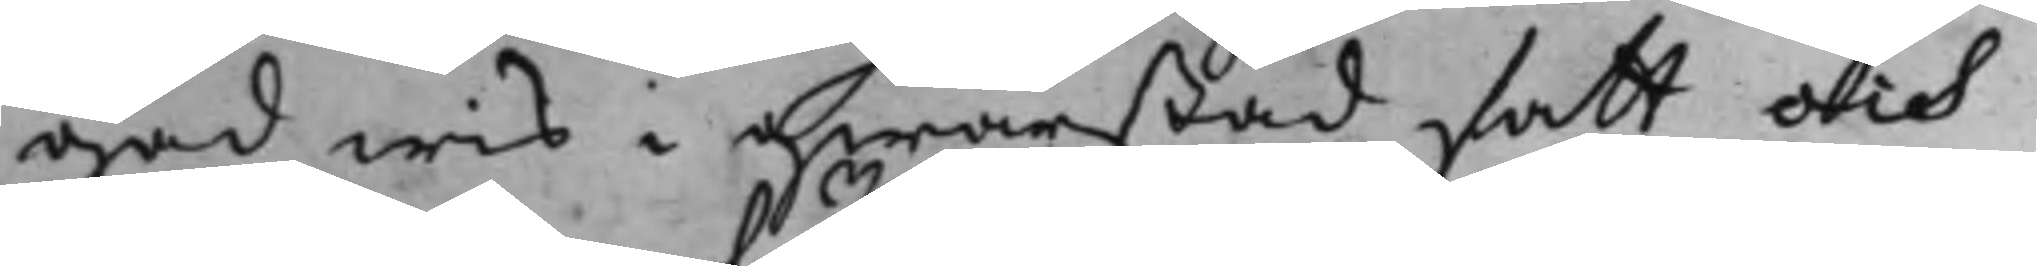gad wis i qwarstad satt och
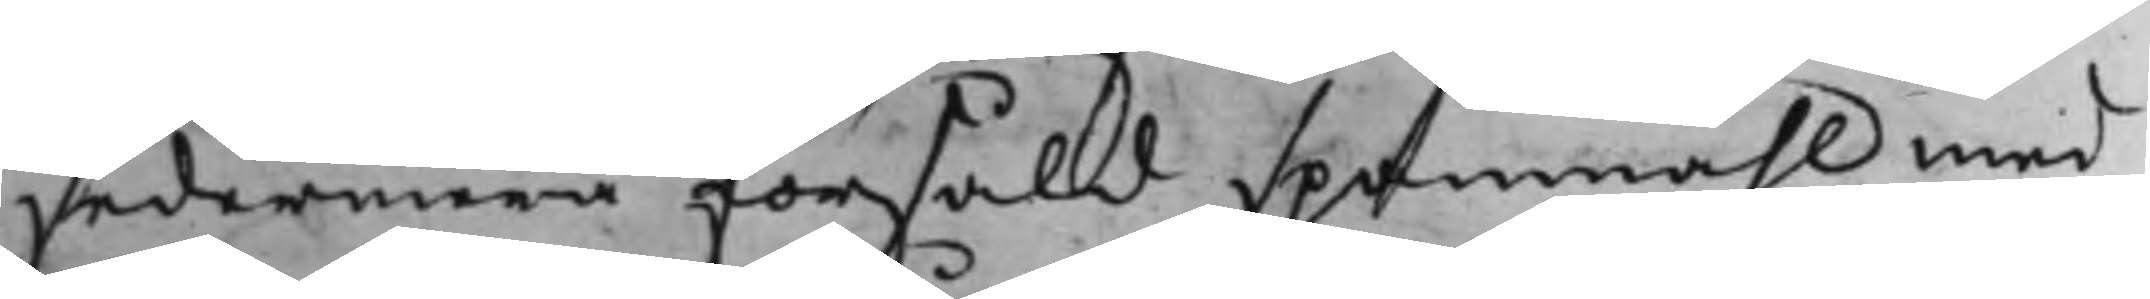sedermera försåld spanmåhl, med
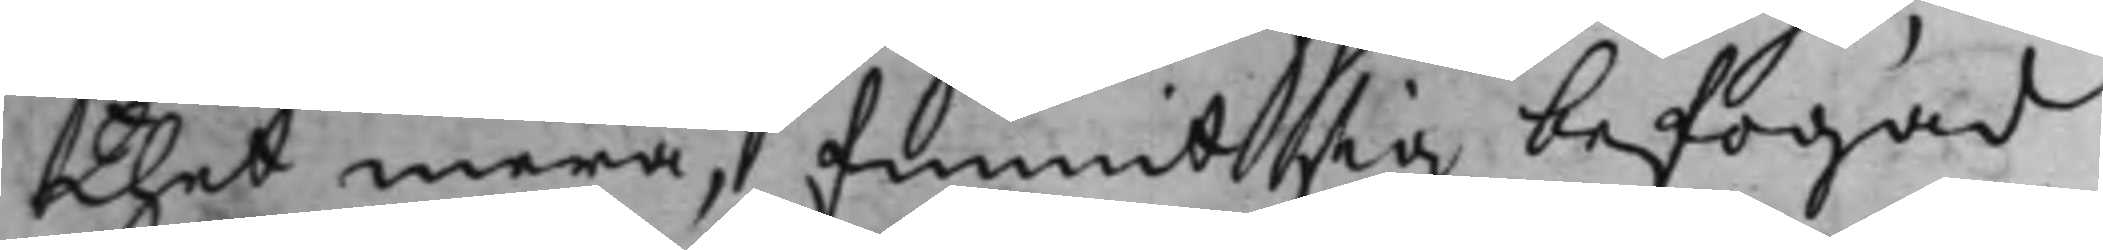thet mera, funnit sig befogad
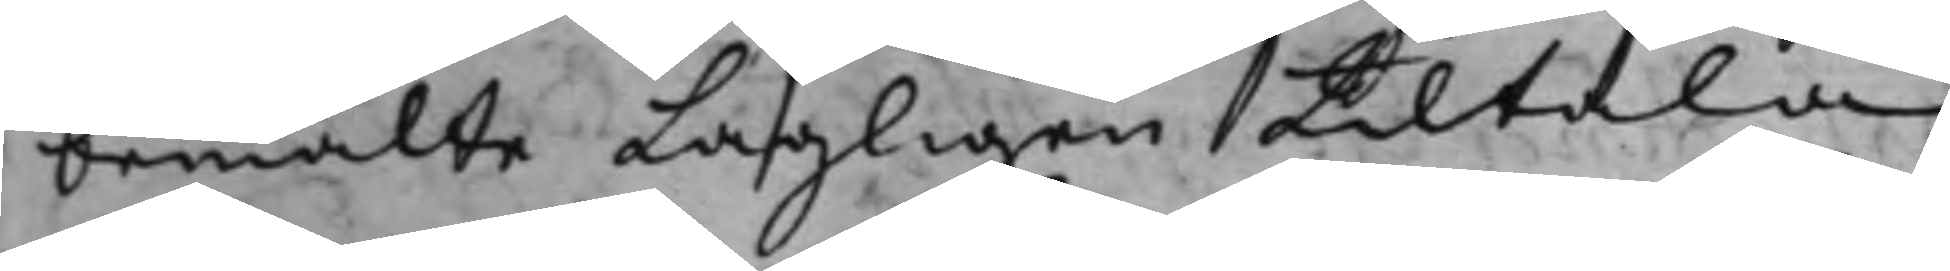bemälte Lagligen tiltala,
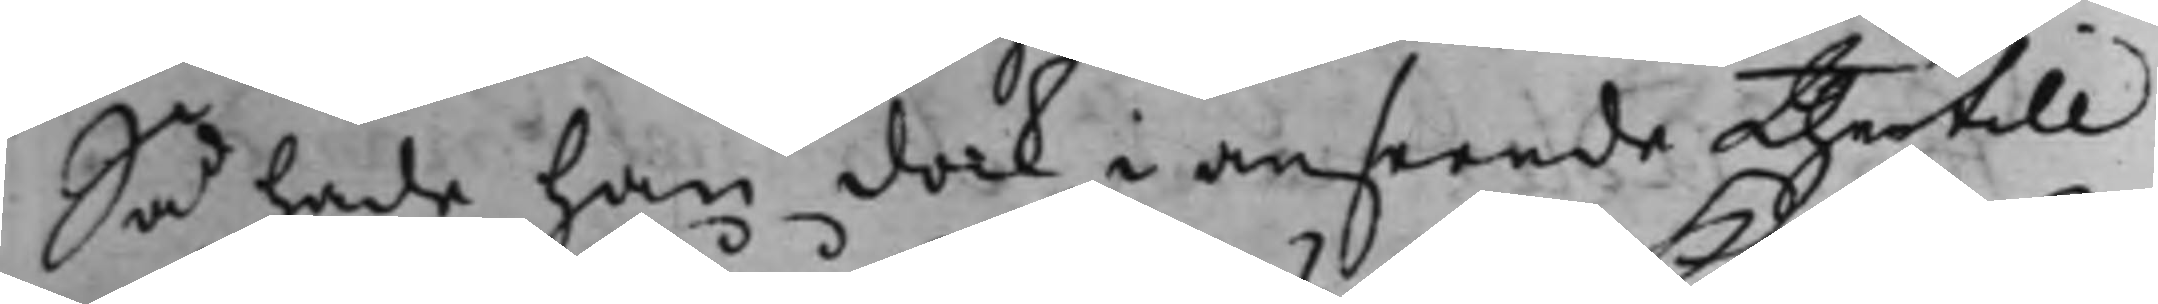Så hade han dock i anseende thertill
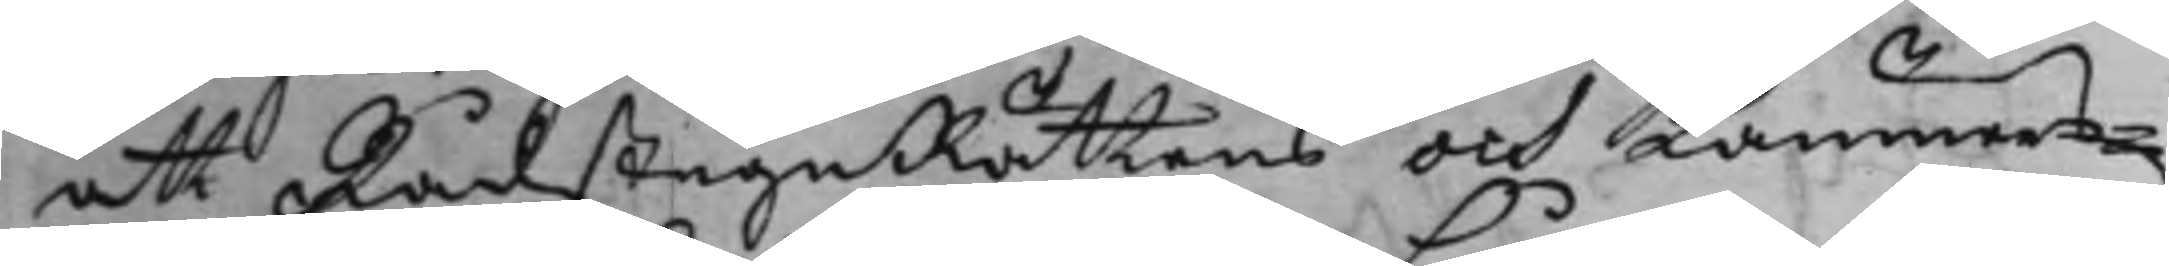att RådstuguRättens och Kämners¬
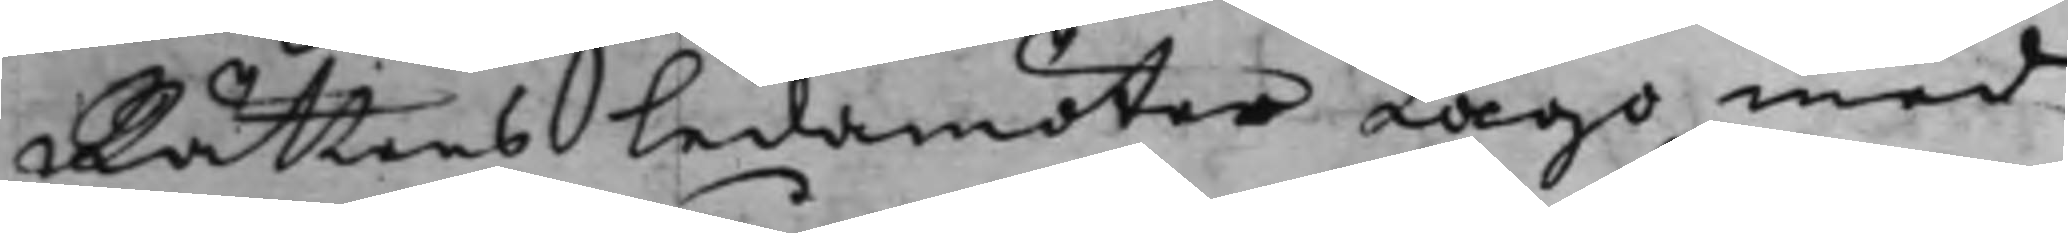Rättens ledamöter Lågo med
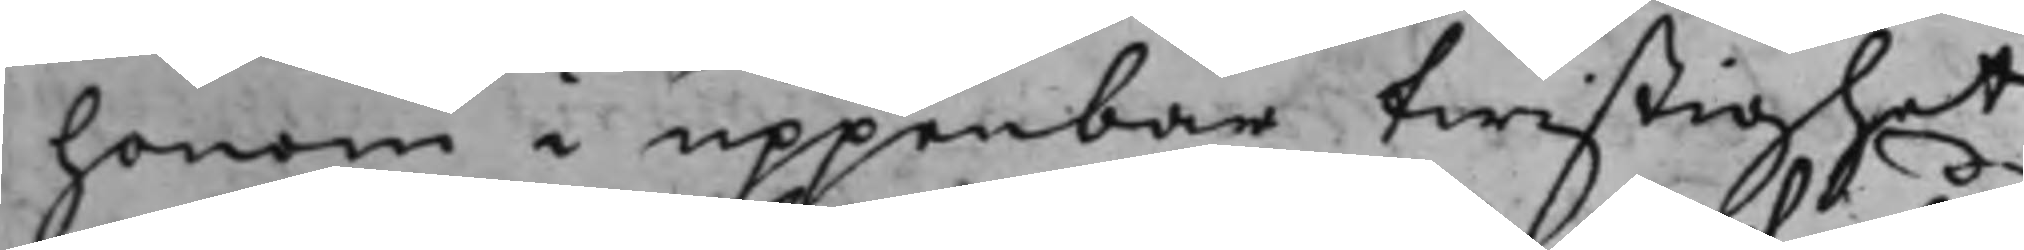honom i uppenbar twistighet
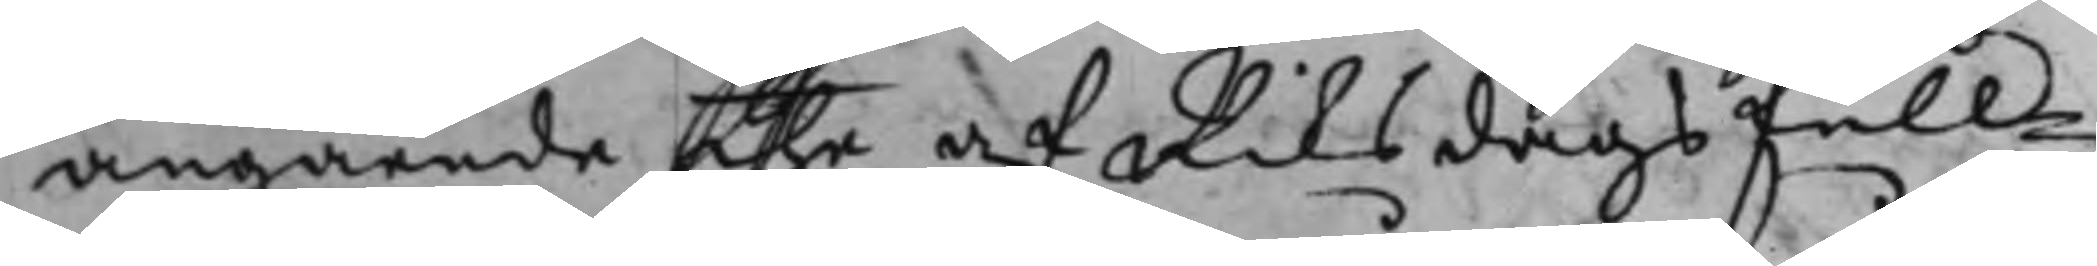angående the af Riksdags full¬
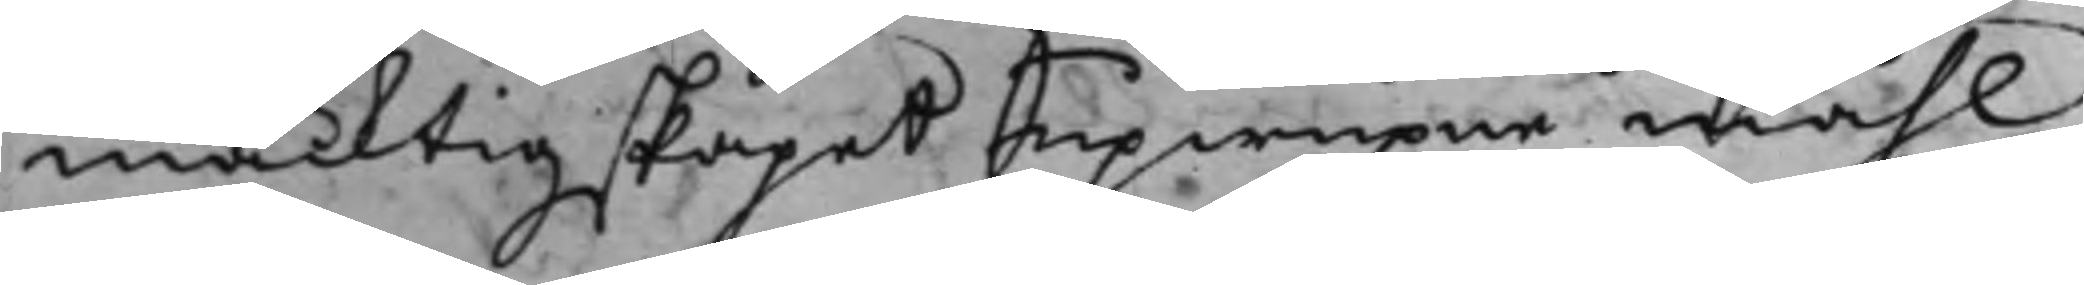mäcktigskapet upwuxne måhl,
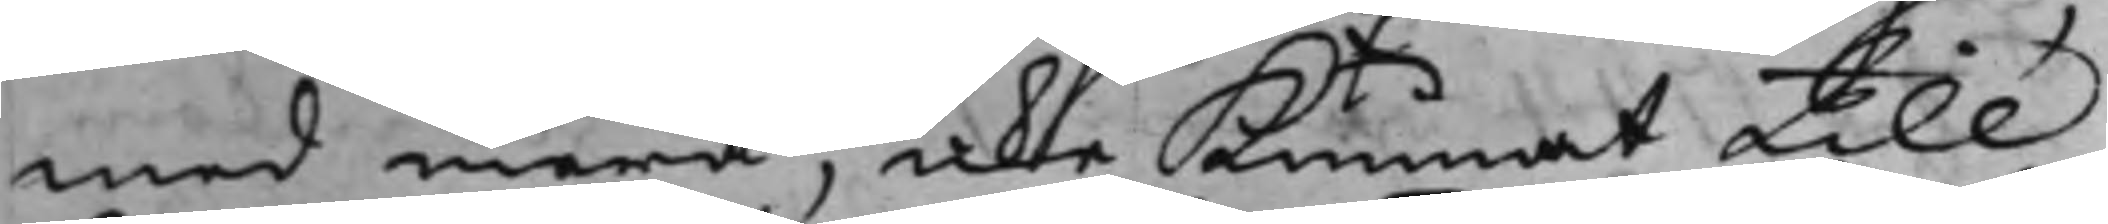med mera, icke Kunnat till
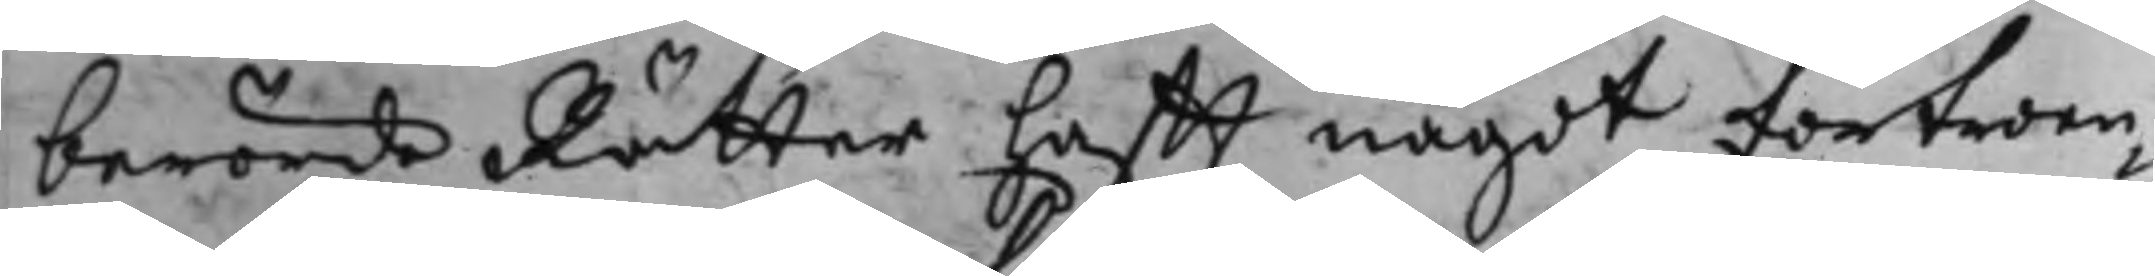berörde Rätter hafft något förtroen¬
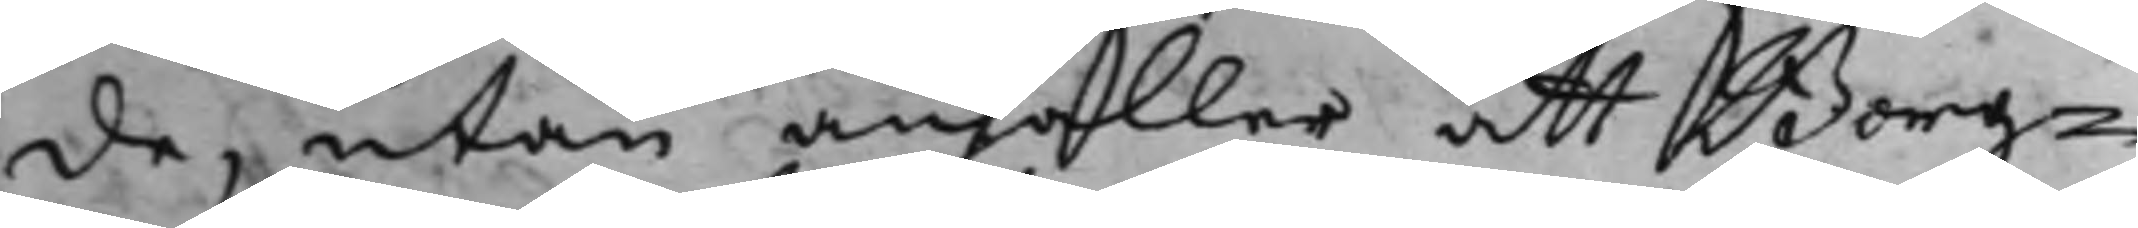de, utan anhåller att Borg¬
